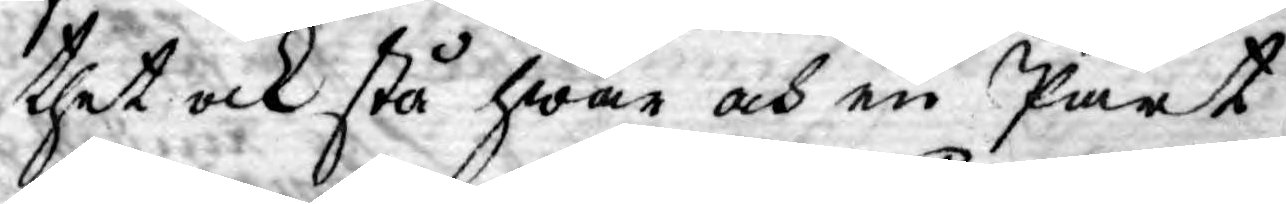thet ock stå hwar och en Part
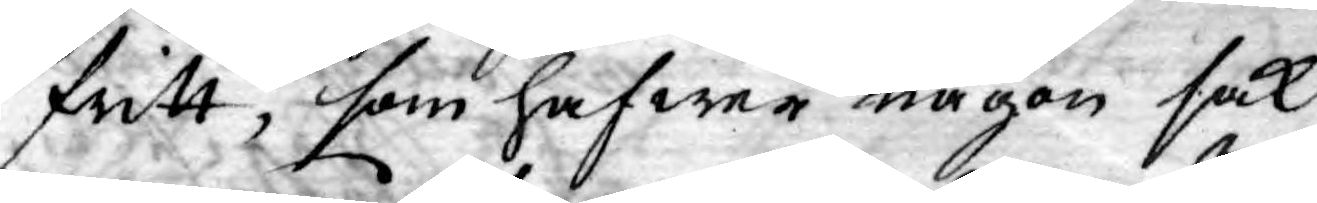fritt, som hafwer någon sak
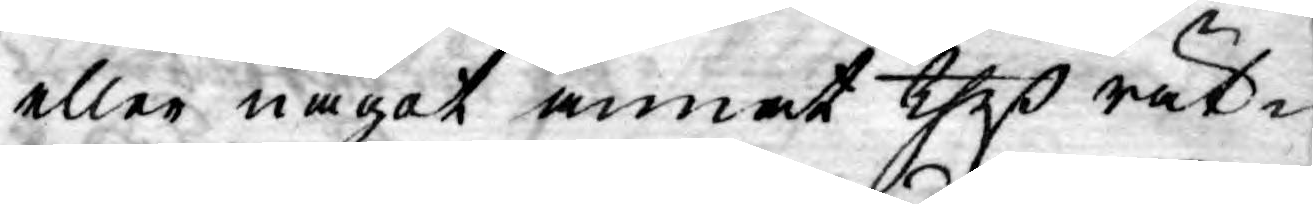eller något annat theß rät¬
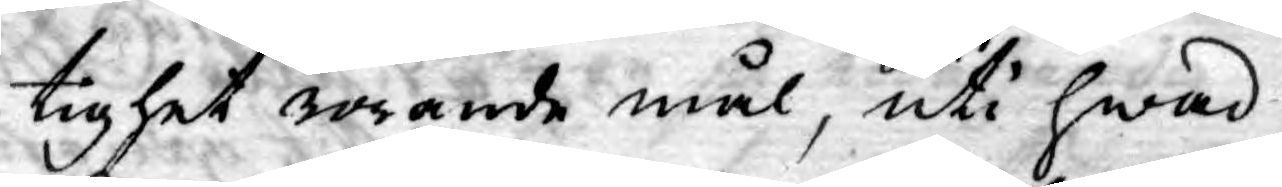tighet rörande mål, uti hwad
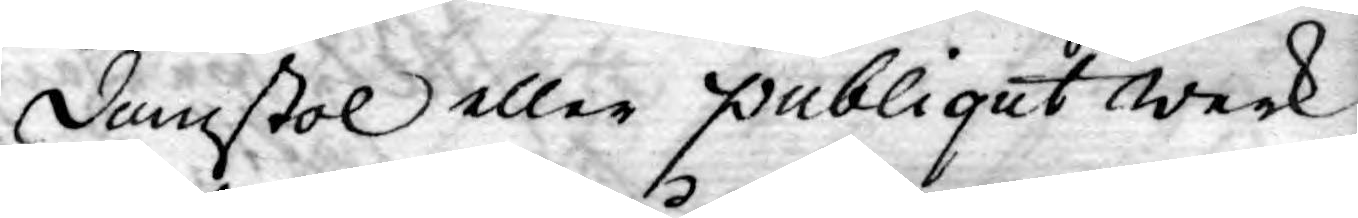Domstol eller publiqut werk
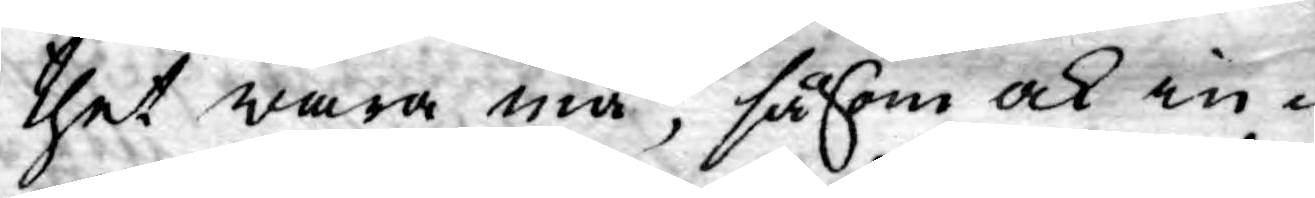thet wara må, såsom ock in¬
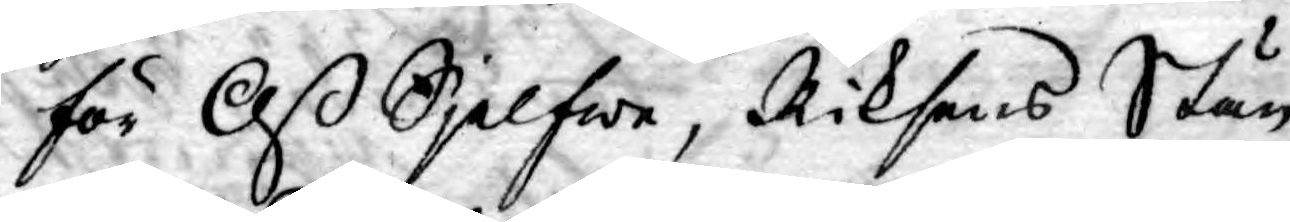för Oß Sjelfwe, Riksens Stän¬
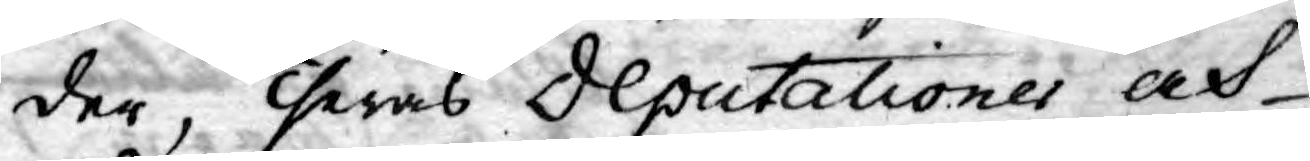der, Theras Deputationer och
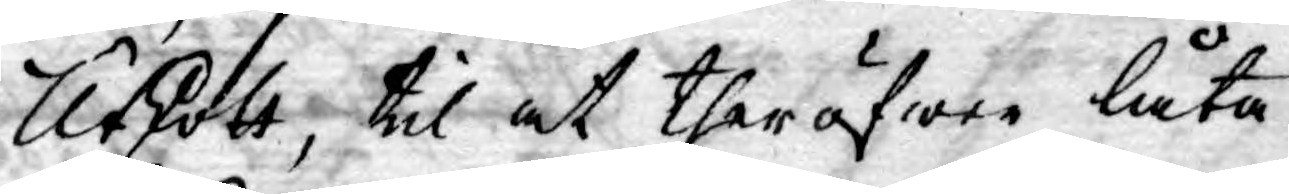Utskott, til at ther öfwer låta
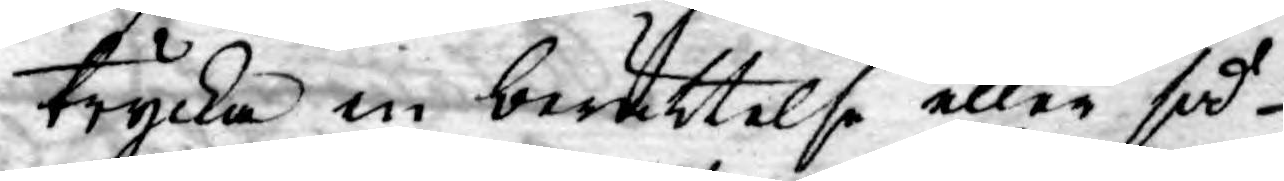trycka in berättelse eller så
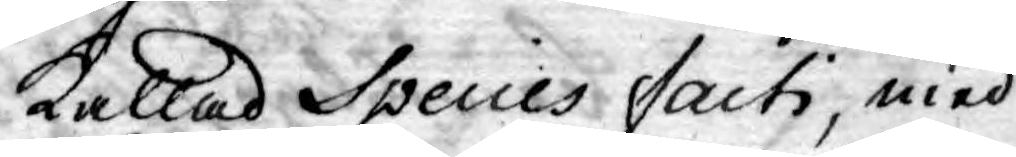kallad Species facti, med
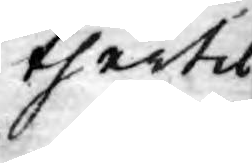thertil
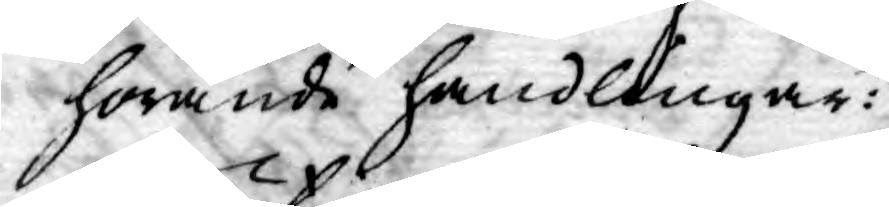hörande handlingar:
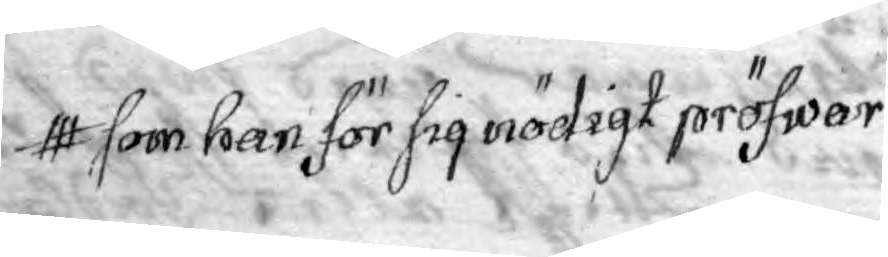som han för sig nödigt pröfwar
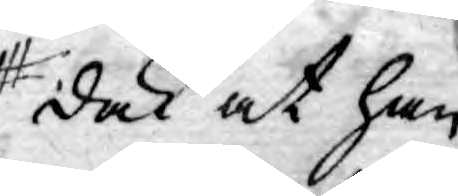dock at han
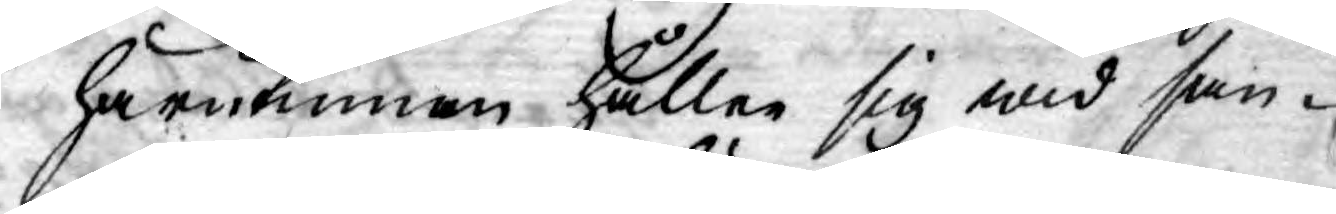härutinnan håller sig wid san¬
